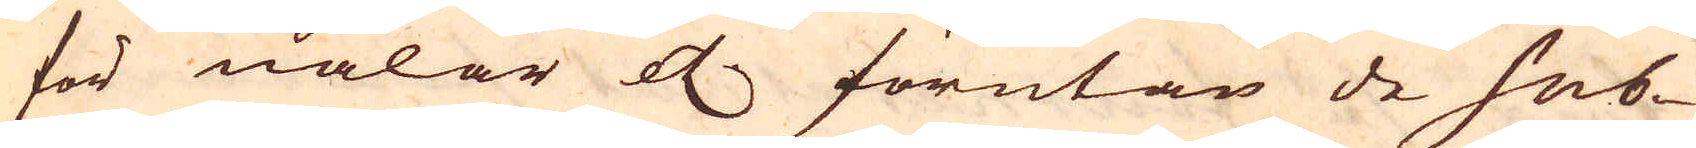för nålar etc förutan de sub-
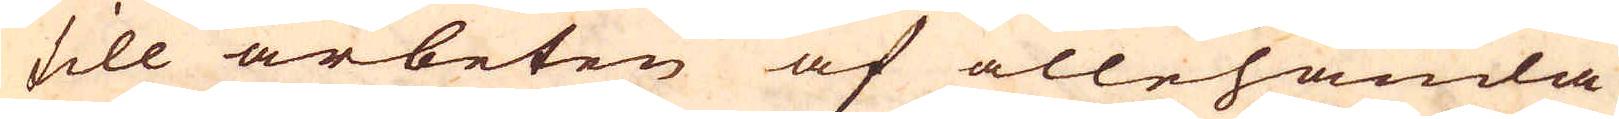tile arbeten af allehanda
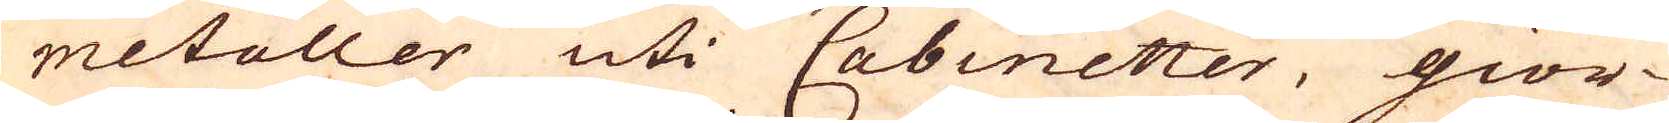metaller uti Cabinetter, giör-
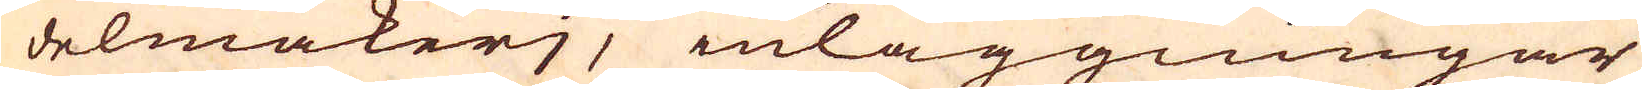delmakerj, inläggningar
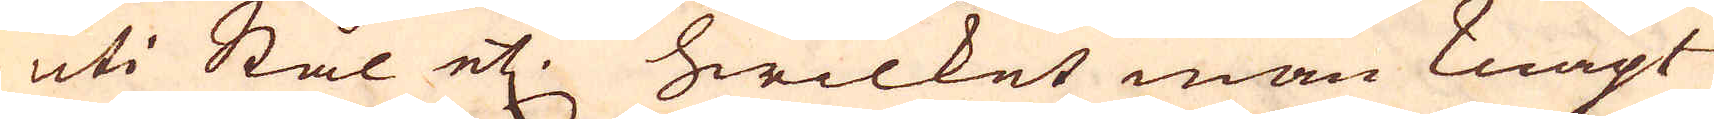uti Stål etc. hwilket man knapt
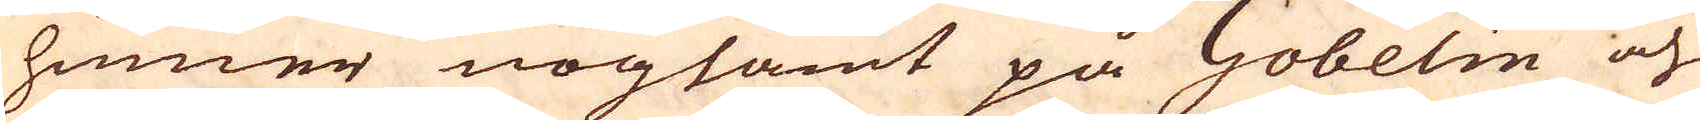hinner nogsamt på Gobelin och
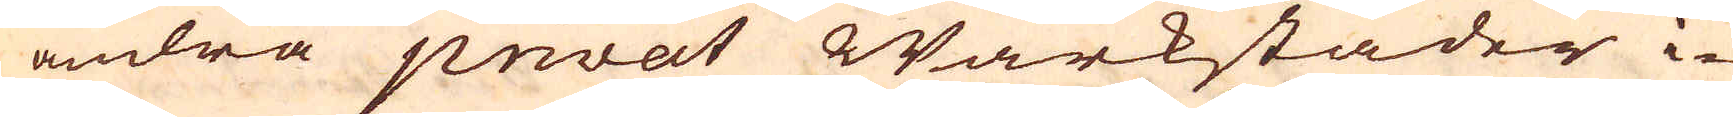andra privat Wärkstäder i-
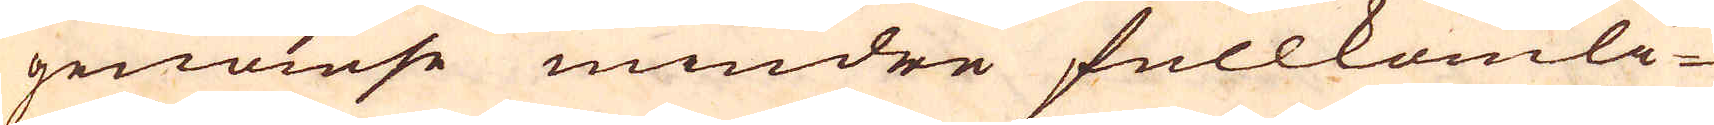genomse mindre fullkomli-
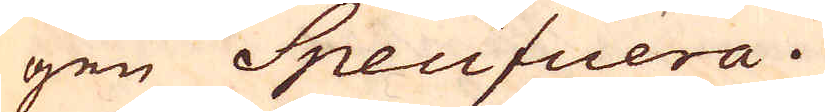gen Specificera.
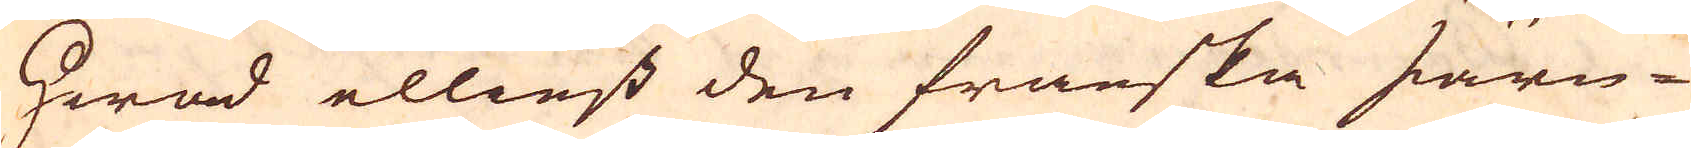Hwad elliest den franska järn-
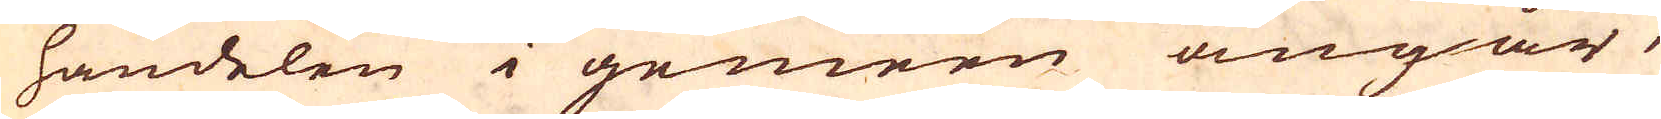handelen i gemeen angår,
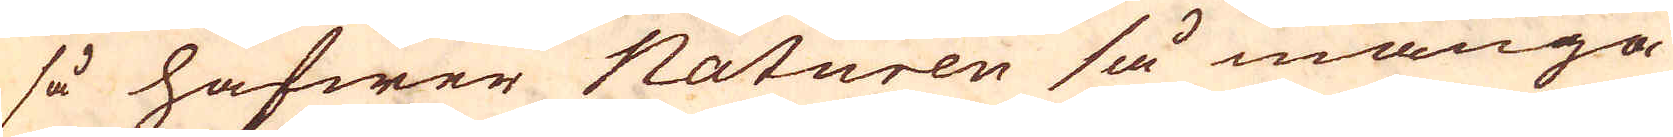så hafwer Naturen så många
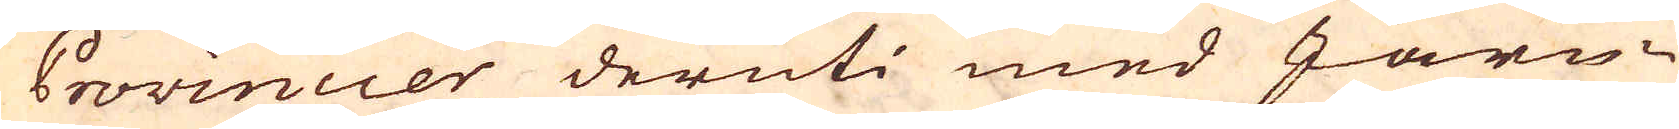Provincier deruti med Järn-
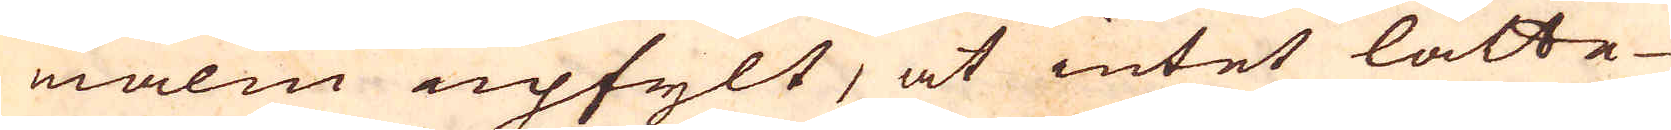malm upfylt, at intet lätte-
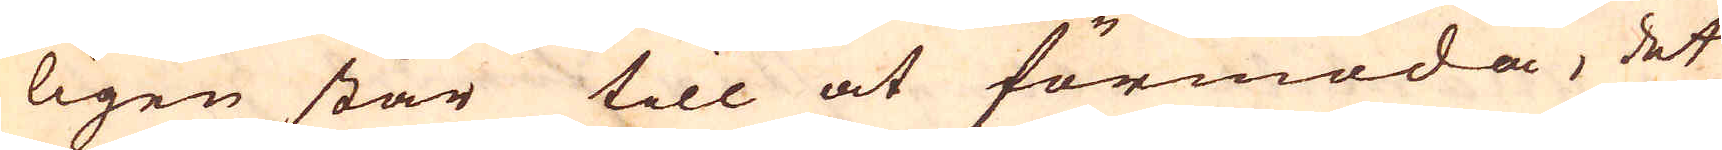ligen står till at förmoda, det
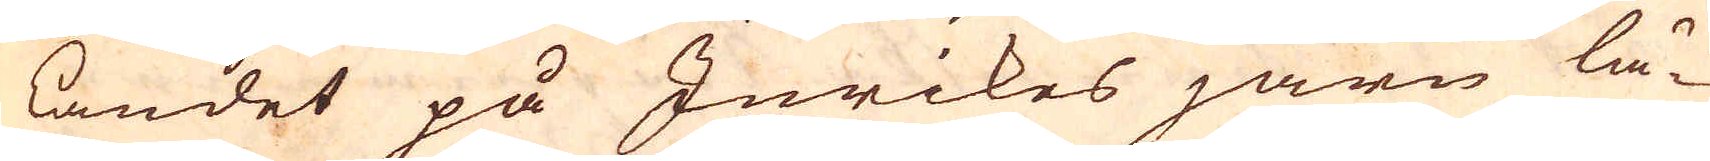landet på Inrikes järn lä-
